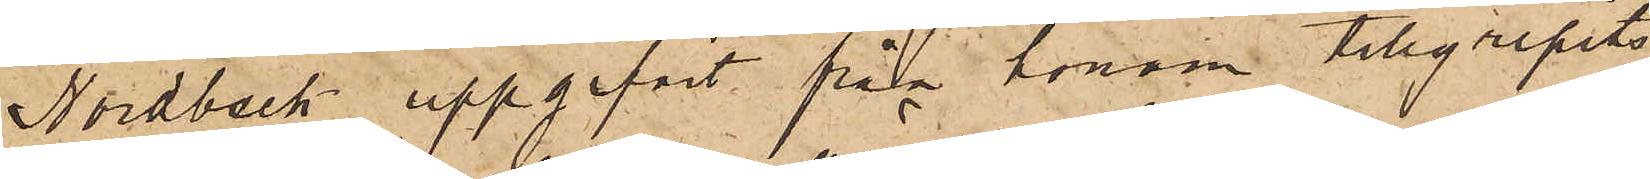Nordbeck uppgifvit från honom tillgripits
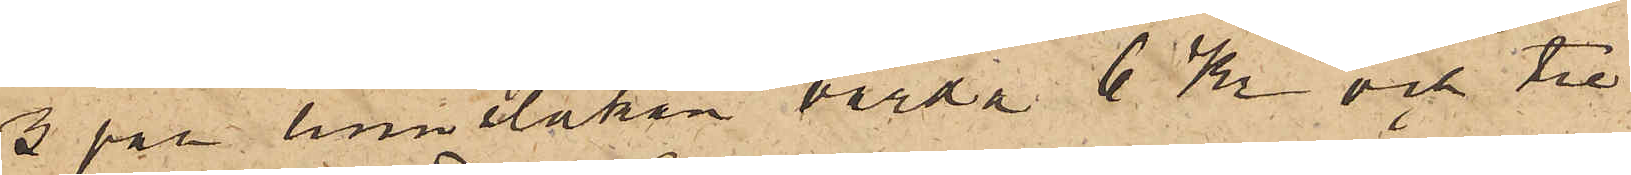3 par linnelakan värda 6 Kr och tre
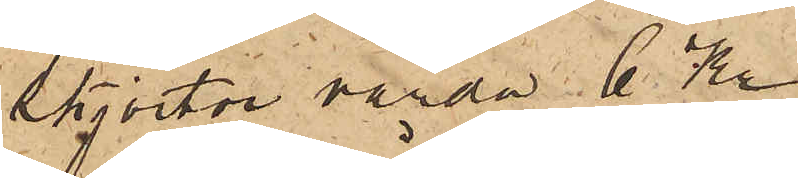skjortor värda 6 Kr
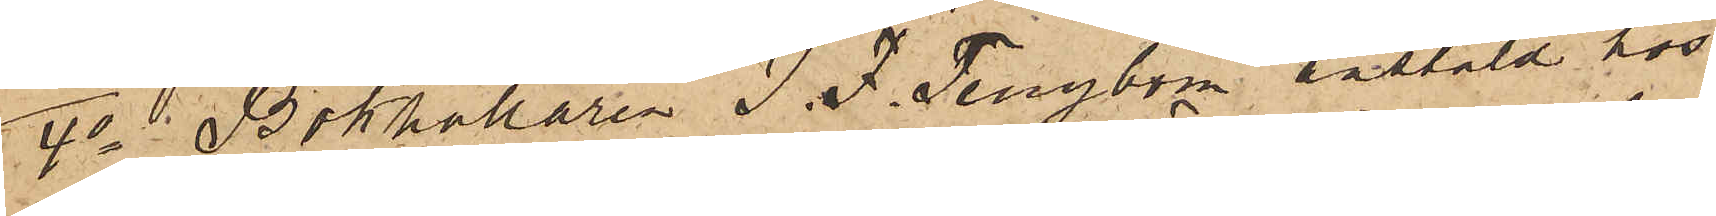4o i Bokhållaren J. F. Tengbom anstäld hos
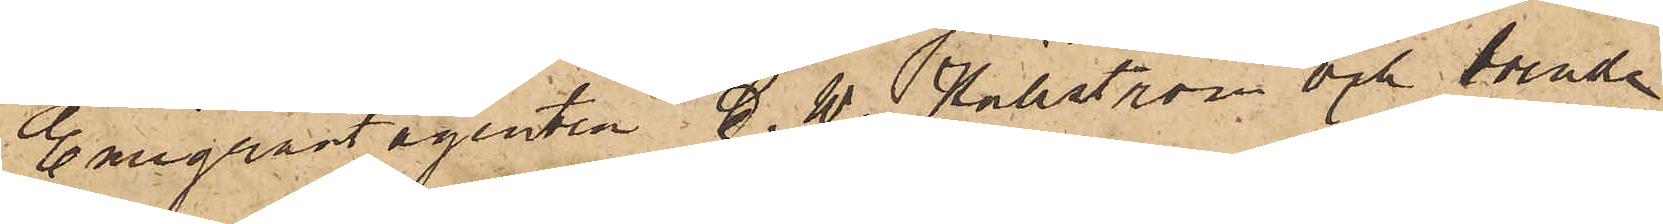Emigrantagenten C. W. Hällström och boende
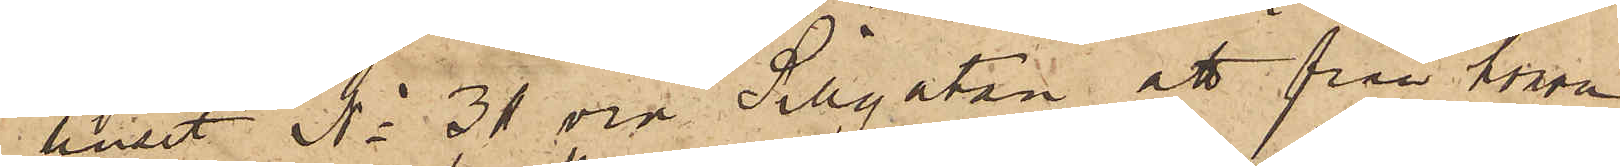i huset No 31 vid Sillgatan, att från honom
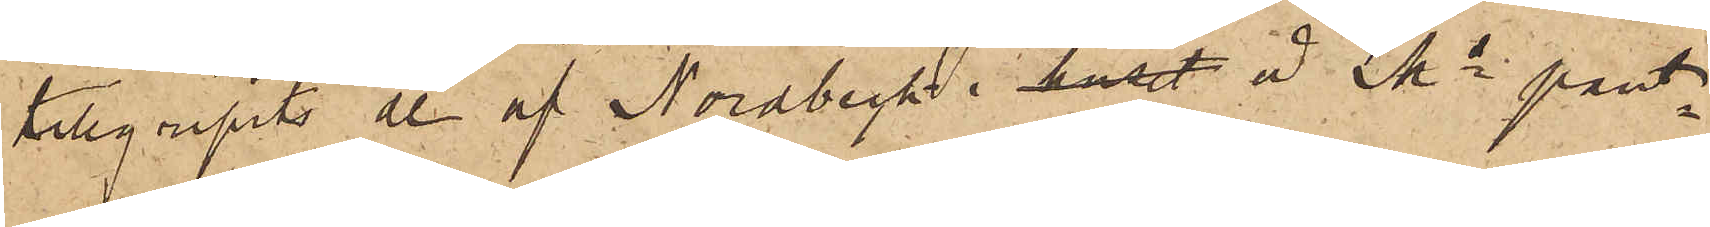tillgripits de af Nordbeck i huset å Ms pant¬
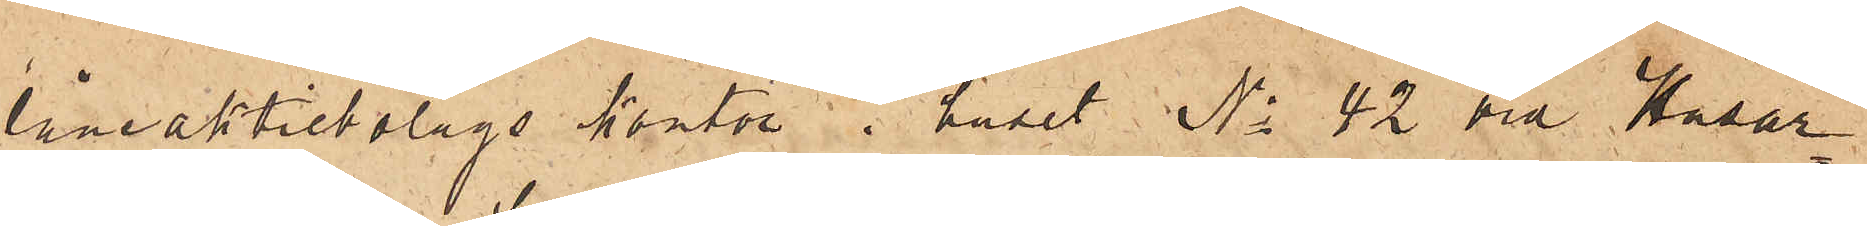låneaktiebolags kontor i huset No 42 vid Husar¬
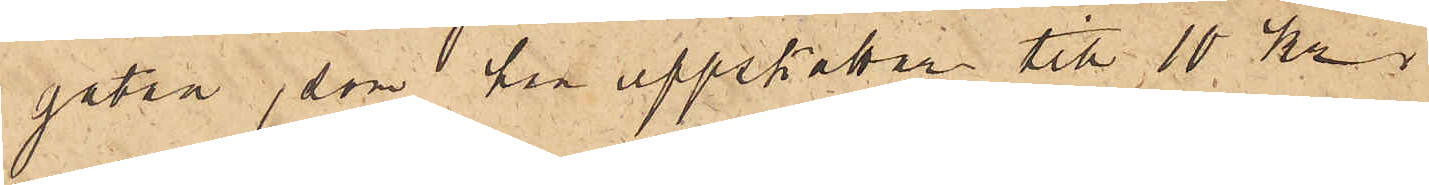gatan, som han uppskattar till 10 kr.
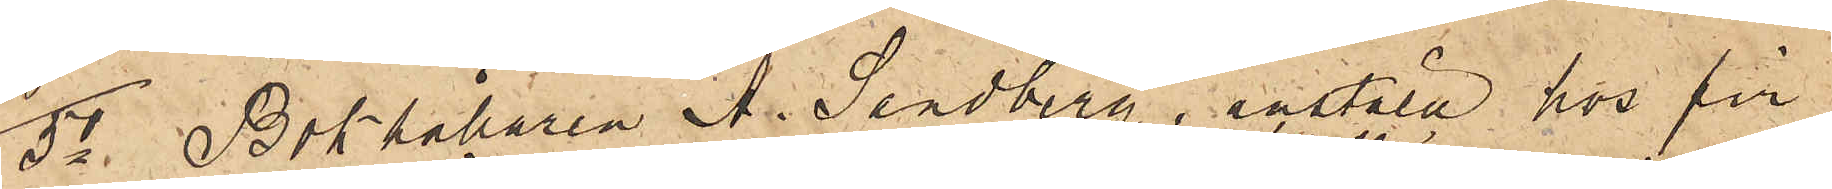5o Bokhållaren A. Sandberg, anstäld hos fir¬
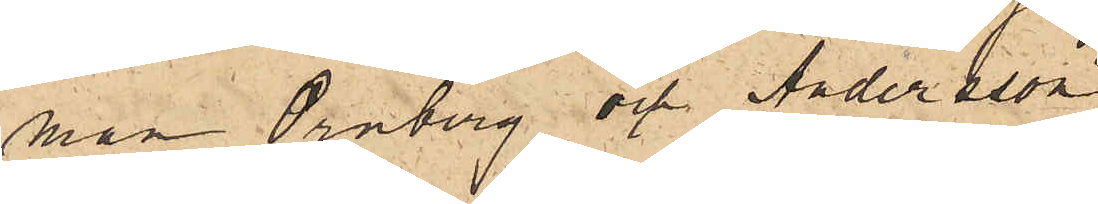man Örnberg och Andersson
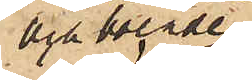och boende
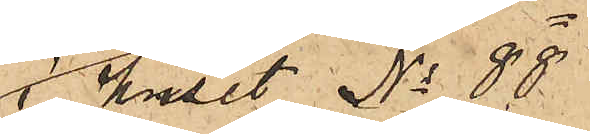i huset No 88
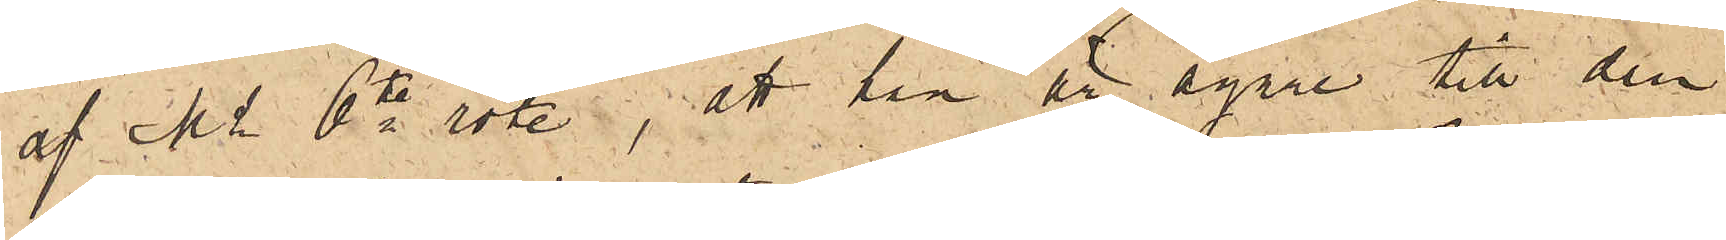af Ms 6te rote, att han är egare till den
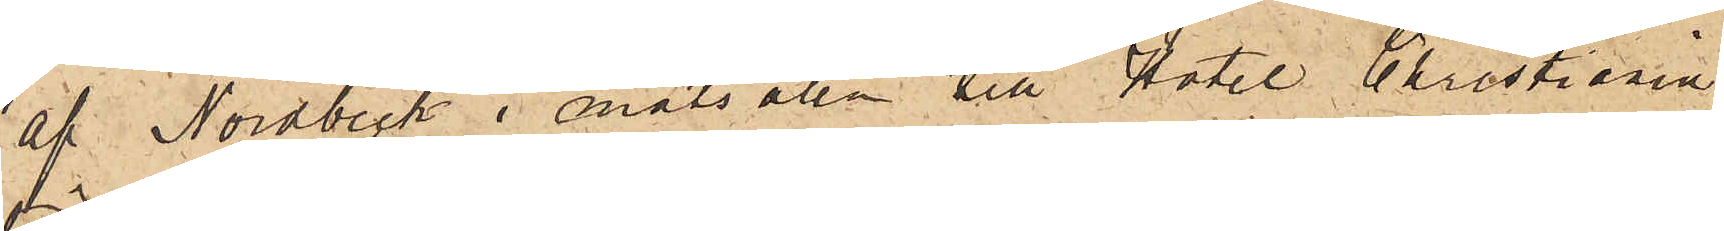af Nordbeck i matsalen till Hotel Christiania
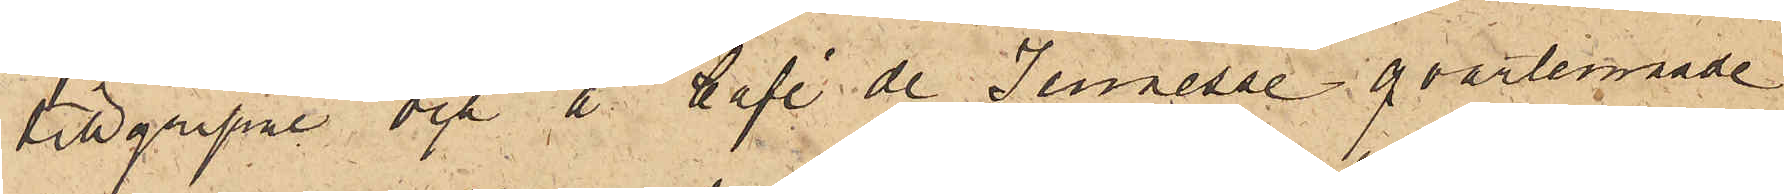tillgripne och å Café de Jeunesse qvarlemnade
